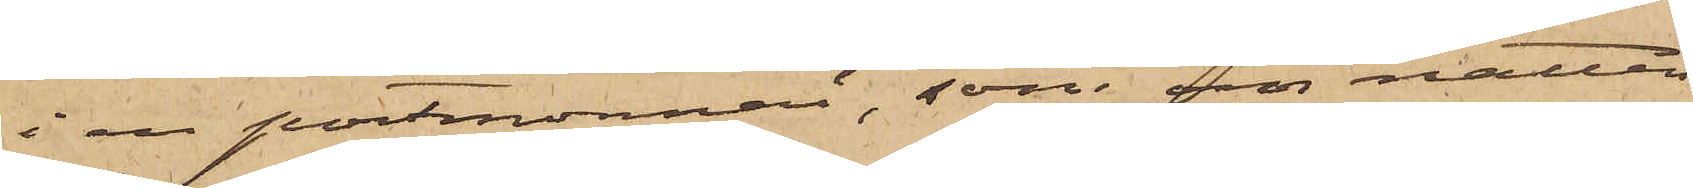i en portmonnai, som natten
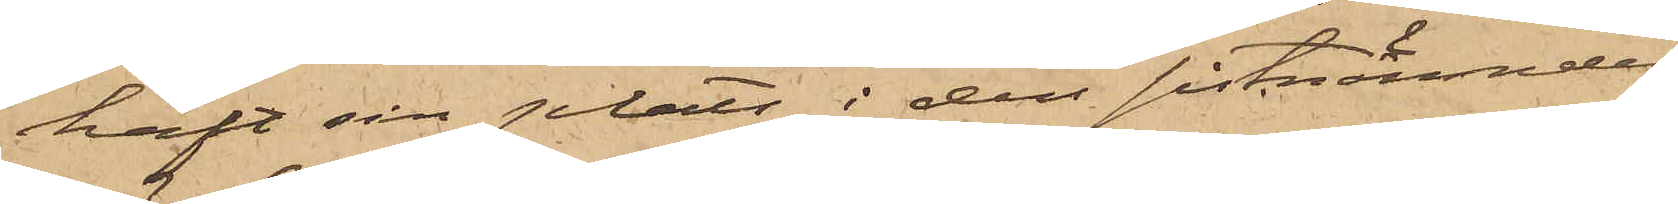haft sin plats i den sistnämndes
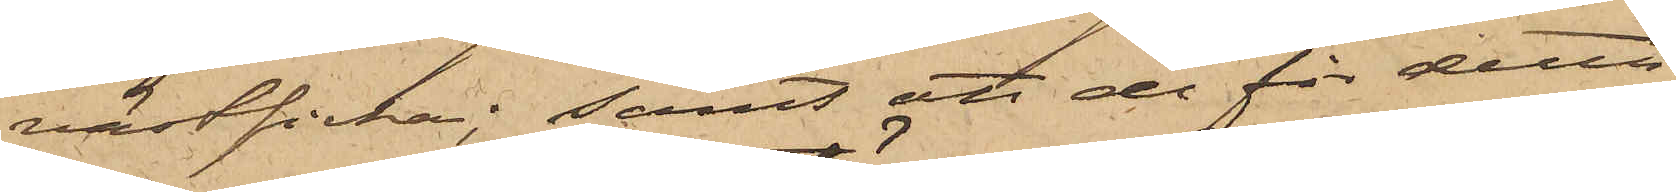västficka; samt att de för detta
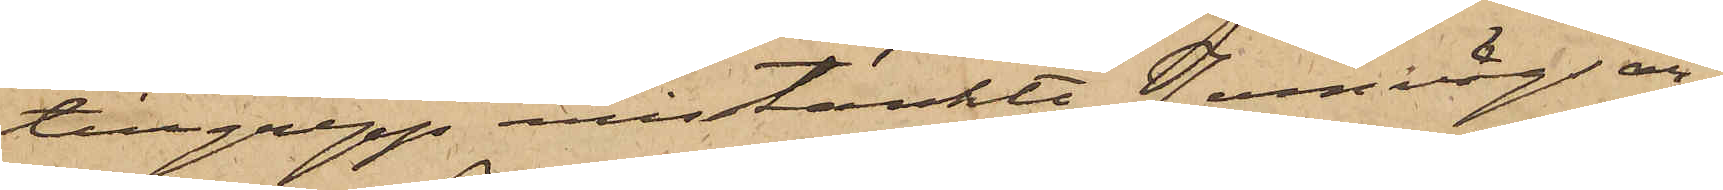tillgrepp misstänkte Jernvägsan¬
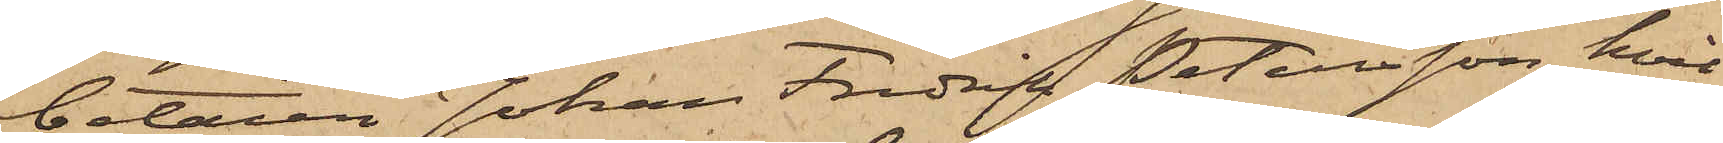betaren Johan Fredrik Petersson, hvil¬
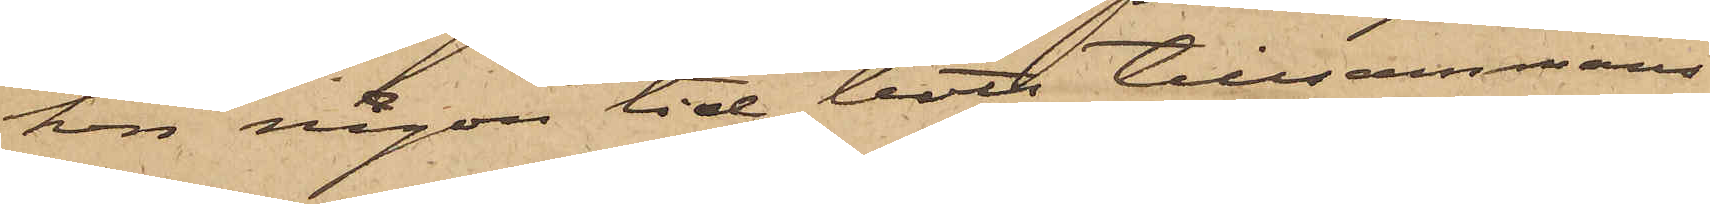han någon tid bott tillsammans
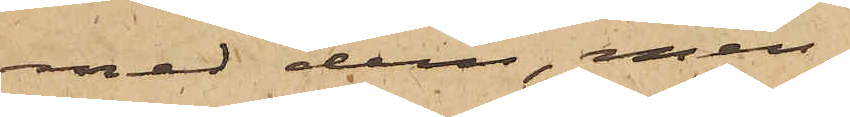med dem, men
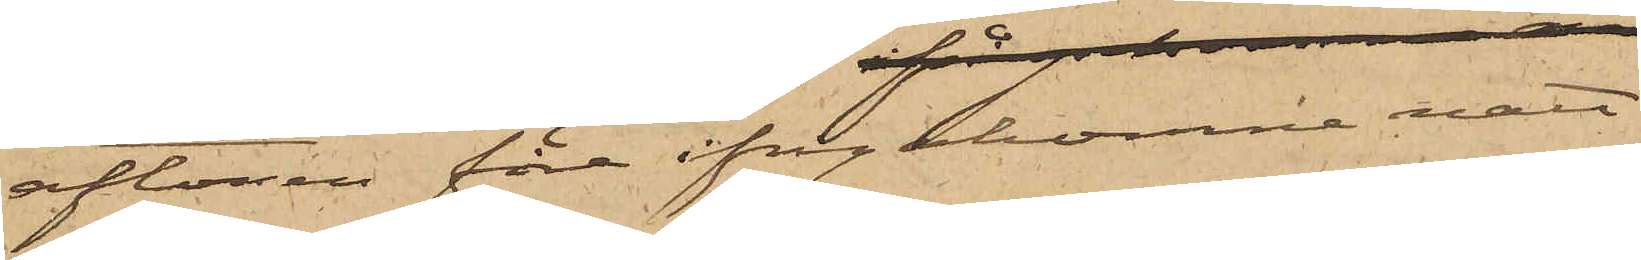aftonen före ifrågakomne natt
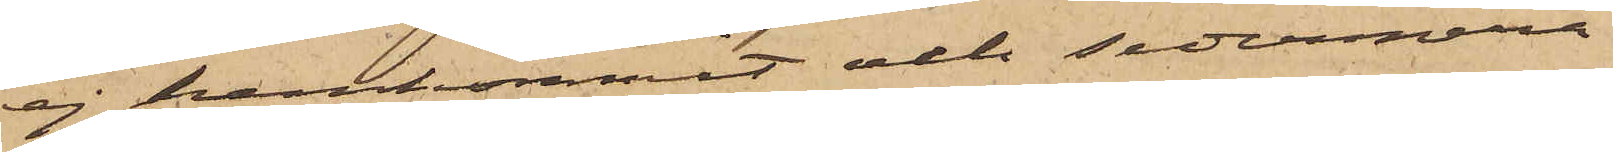ej hemkommit och sedermera
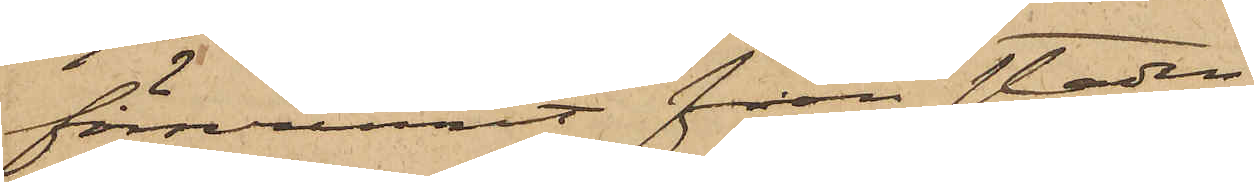försvunnit från staden.
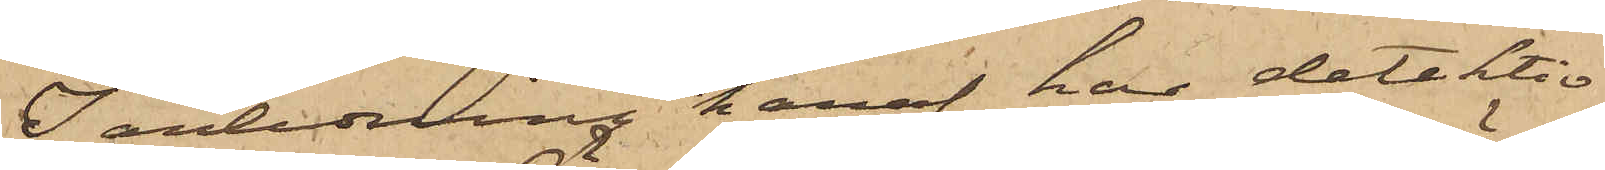I anledning häraf har detektiv¬
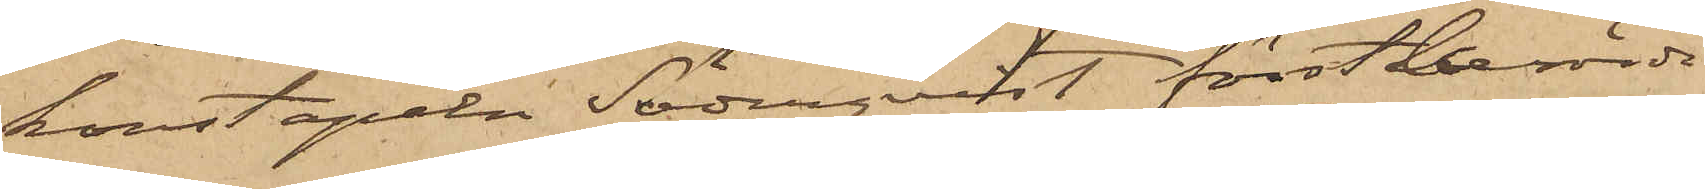konstapeln Söderqvist förstnämnde
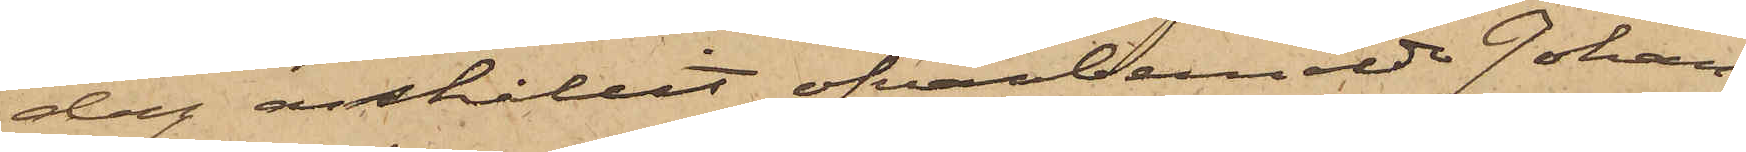dag anhållit ofvanbemälde Johan
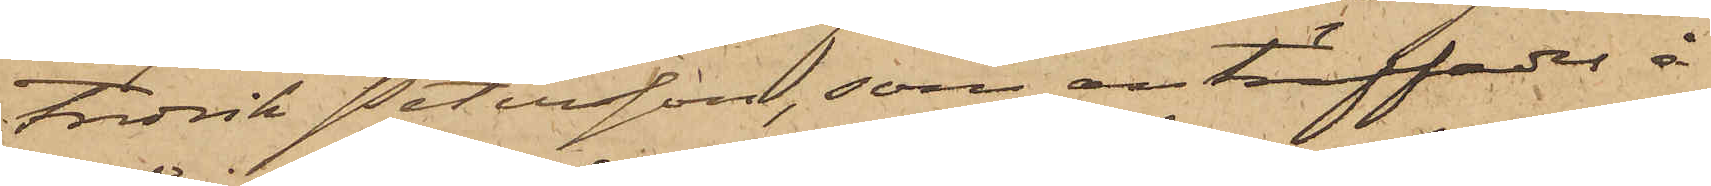Fredrik Petersson, som anträffades å
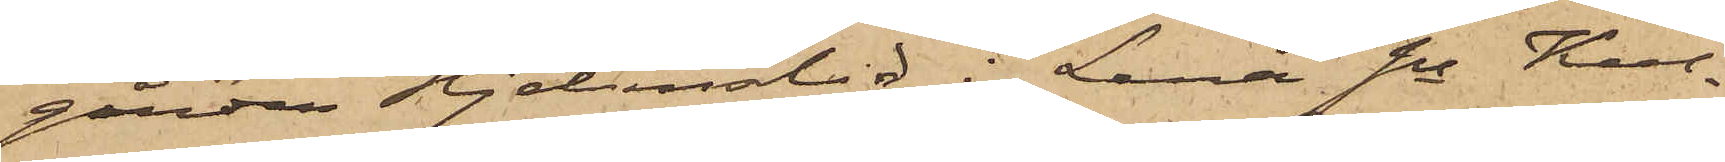gården Hjelmslid i Lena sn Kul¬
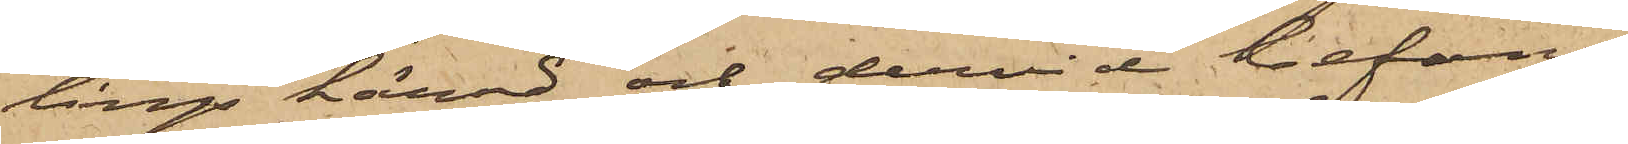lings härad och dervid befans
